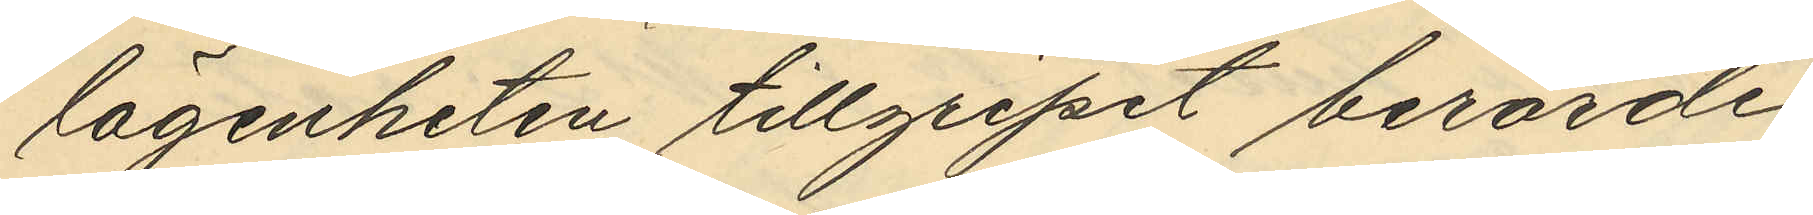lägenheten tillgripit berörde
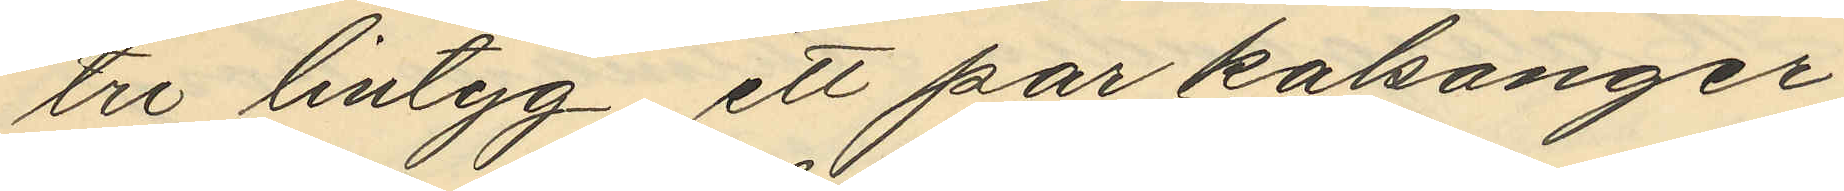tre lintyg ett par kalsonger
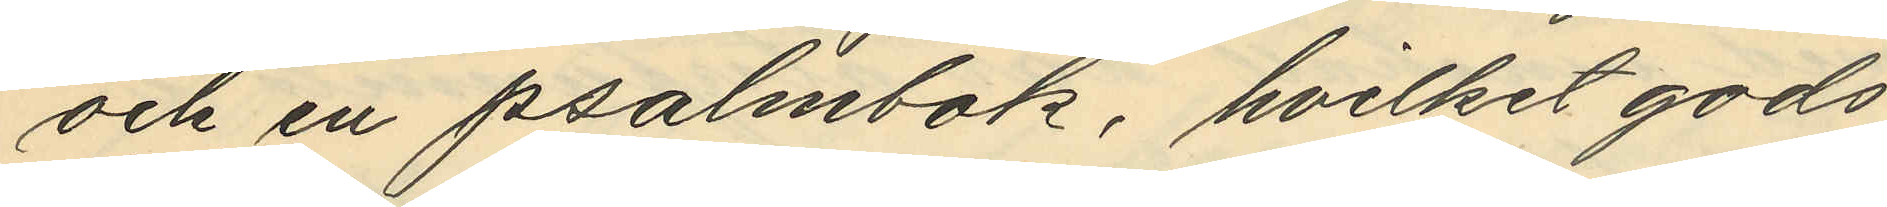och en psalmbok, hvilket gods
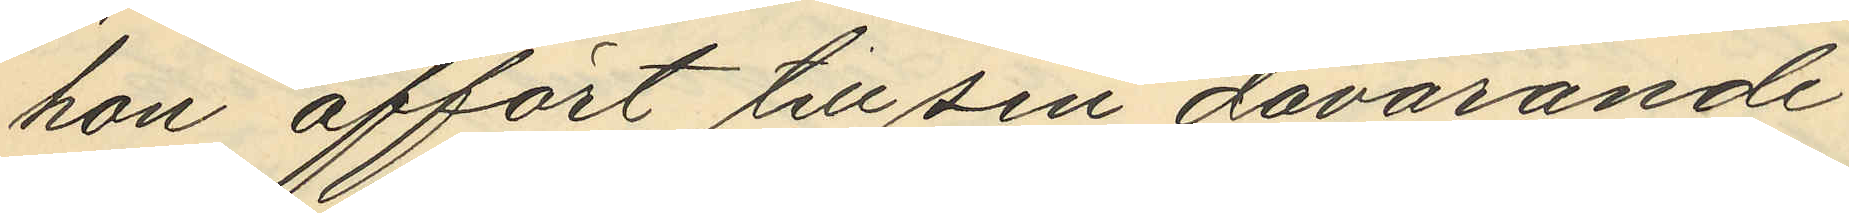hon affört till sin dåvarande
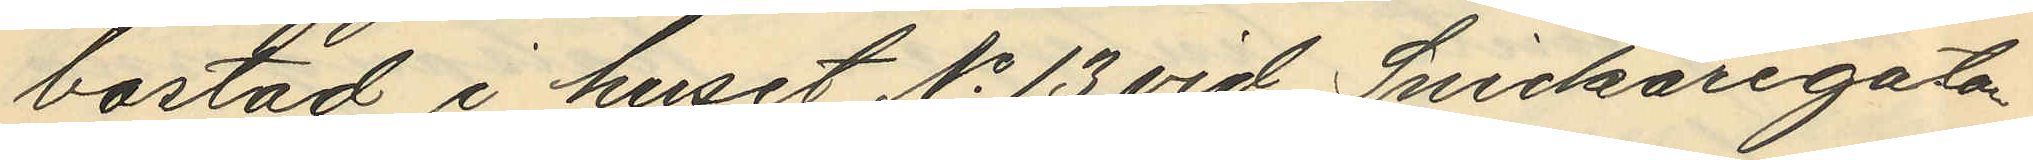bostad i huset No 13 vid Snickaregatan
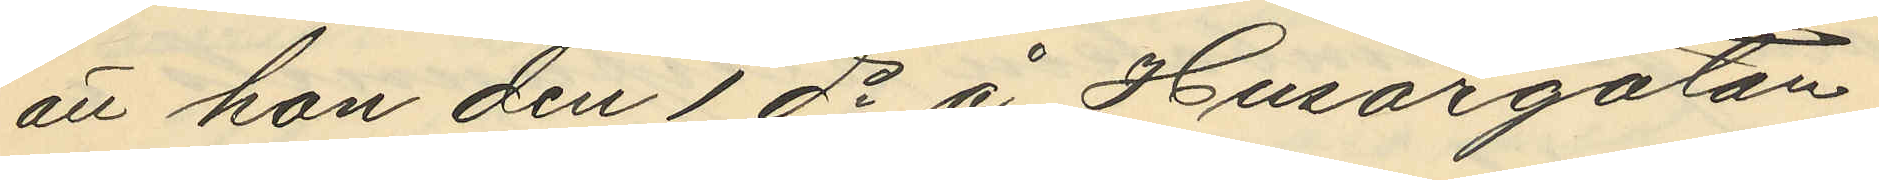att hon den 1 ds å Husargatan
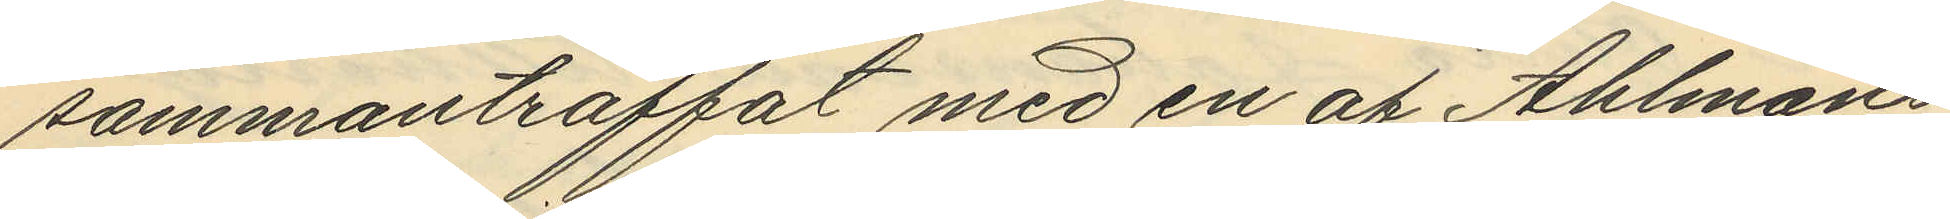sammanträffat med en af Ahlmans
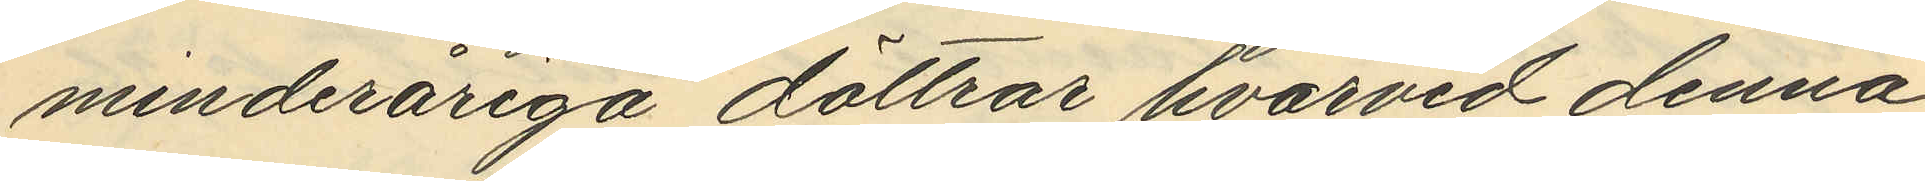minderåriga döttrar hvarvid denna
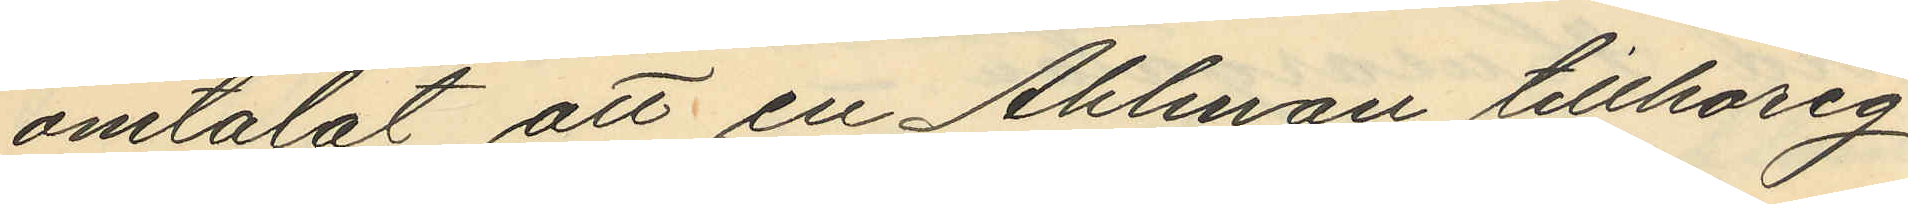omtalat att en Ahlman tillhörig
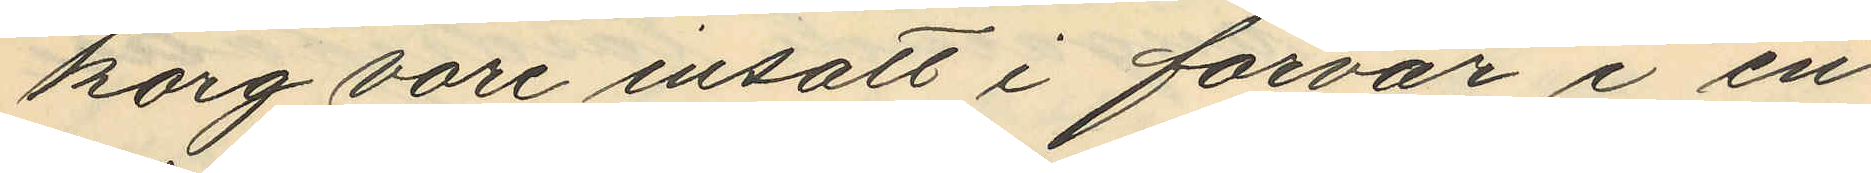korg vore insatt i förvar i en
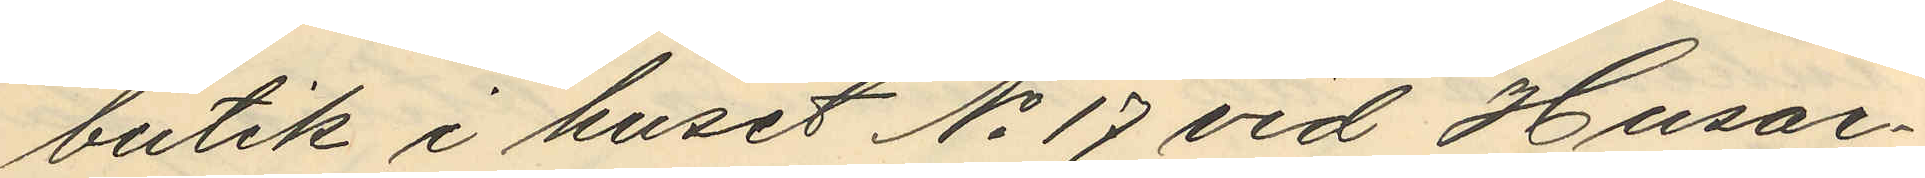butik i huset No 17 vid Husar¬
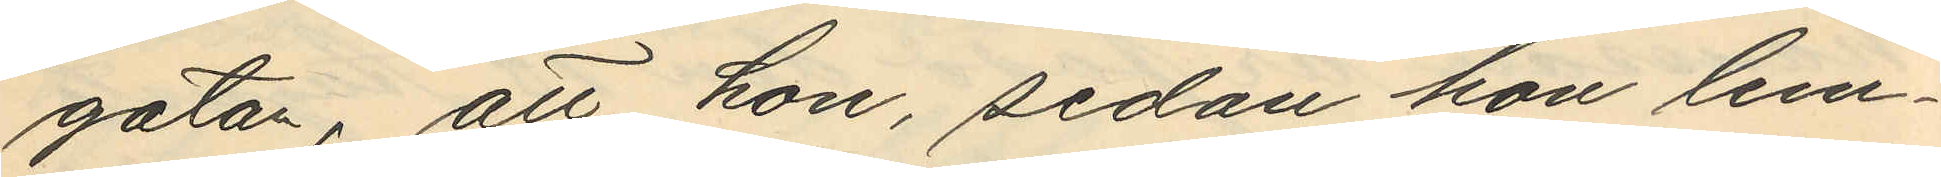gatan, att hon, sedan hon lem¬
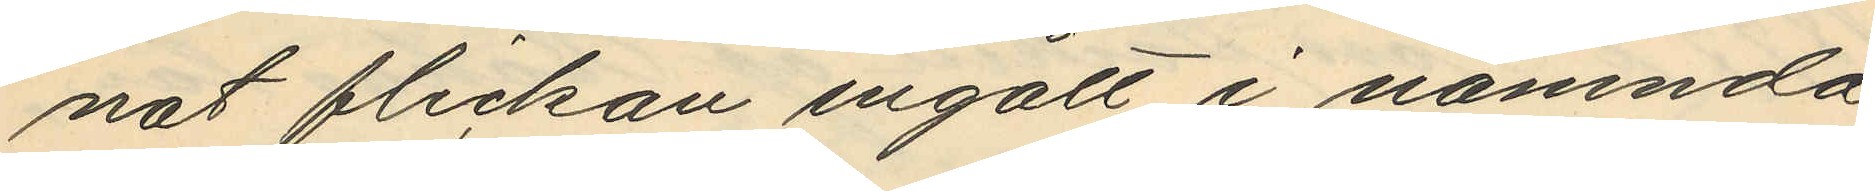nat flickan ingått i nämnda
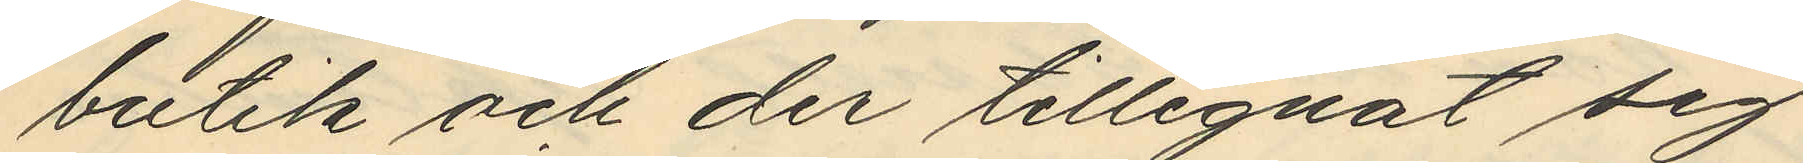butik och der tillegnat sig
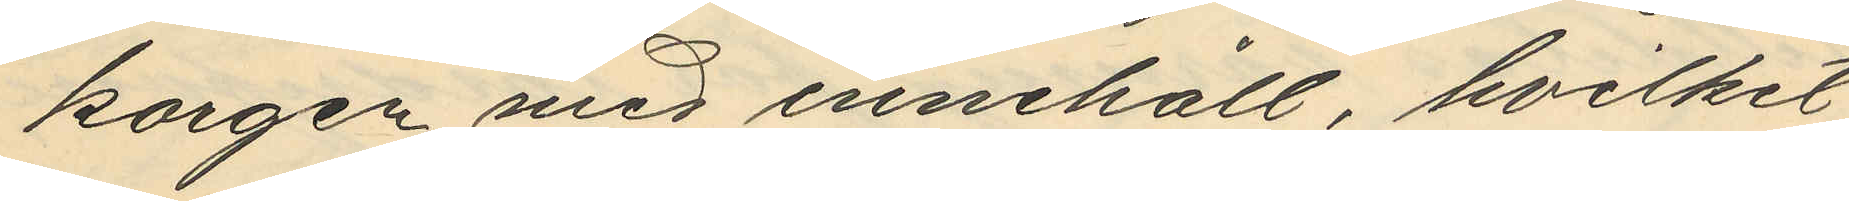korgen med innehåll hvilket
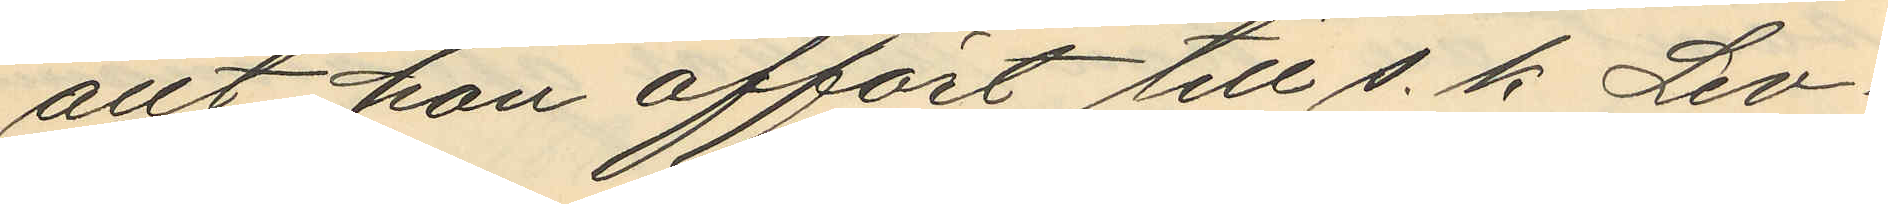allt han affört till s. k. Lev¬
